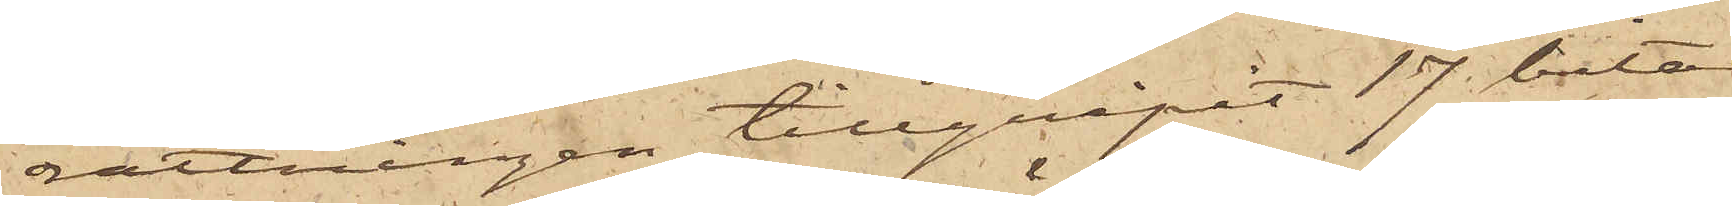rättningen tillgripit 17 bitar
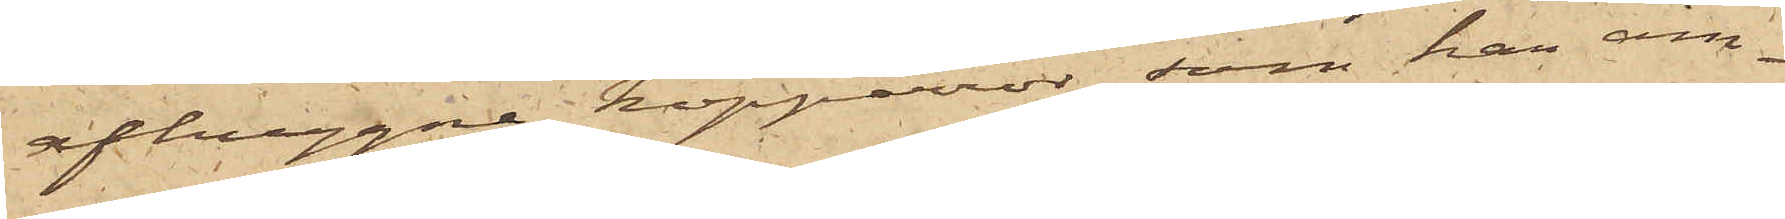afhuggne kopparrör, som han äm¬
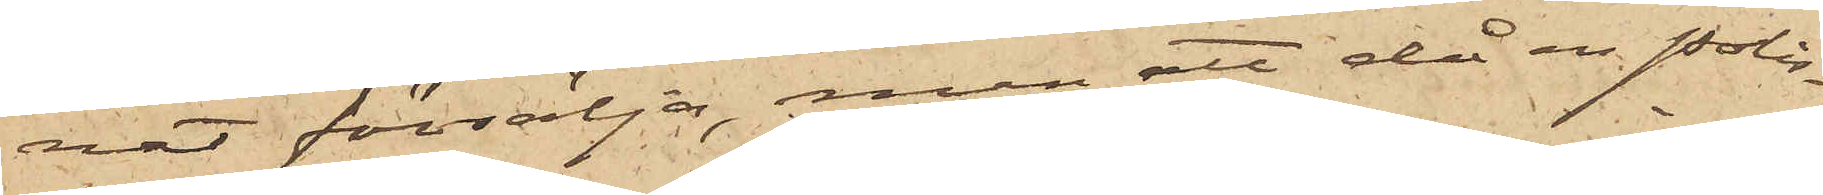nat försälja, men att då en Polis¬
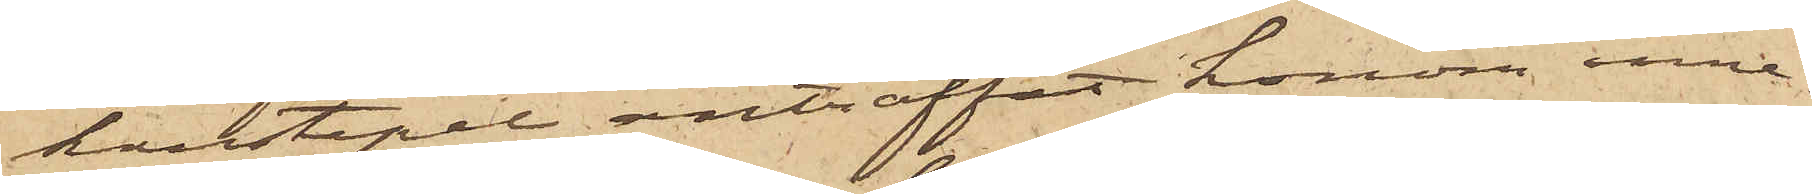konstapel anträffat honom inne¬
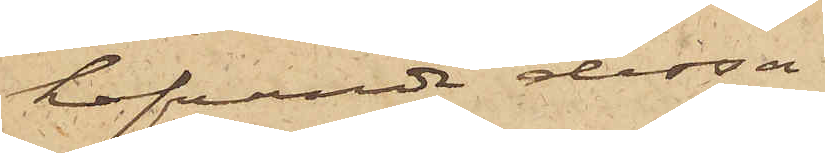hafvande dessa
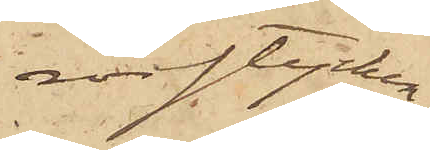rörstycken,
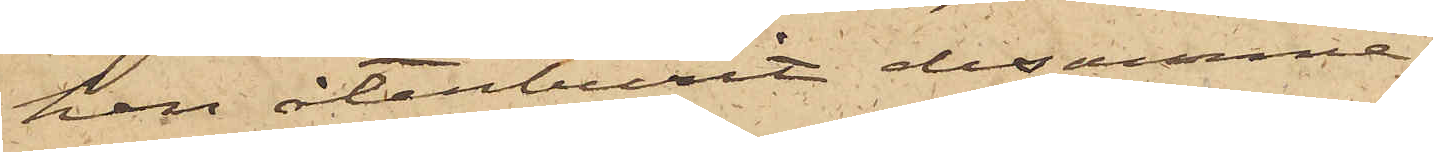han återburit desamma.
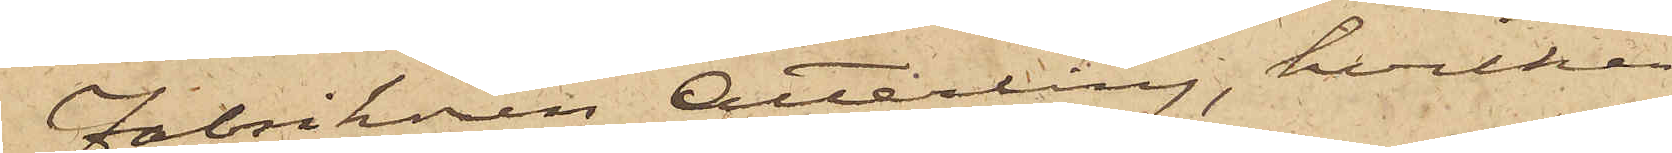Fabrikören Atterling, hvilken
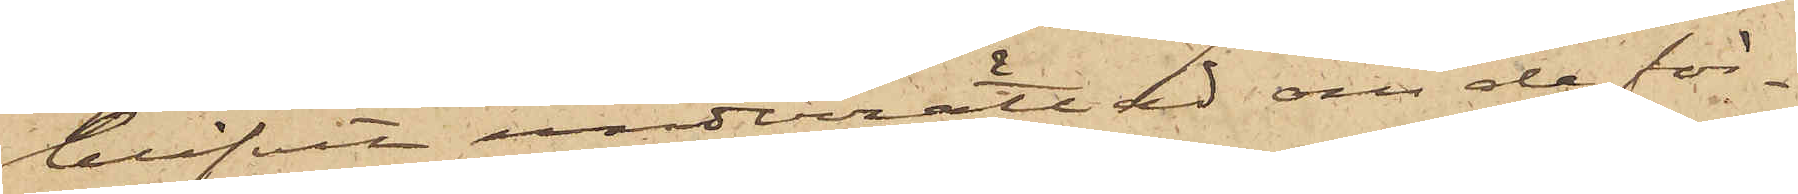blifvit underrättad om de för¬
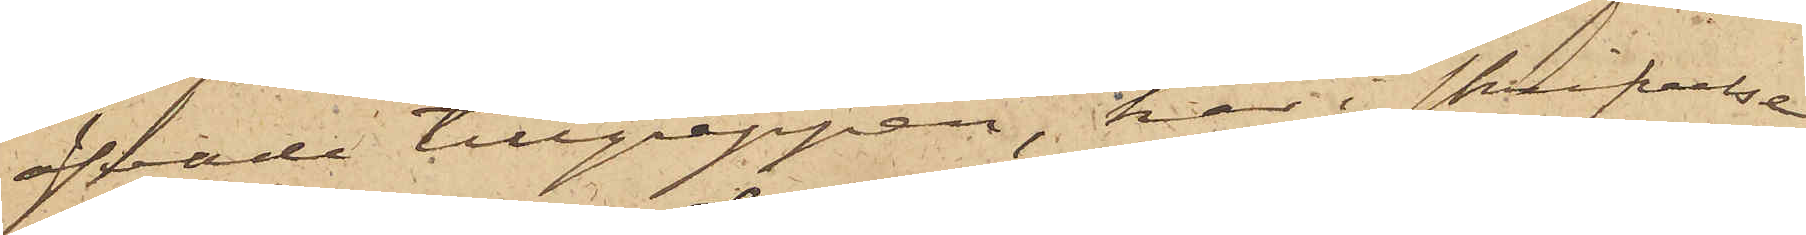öfvade tillgreppen, har i skrifvelse
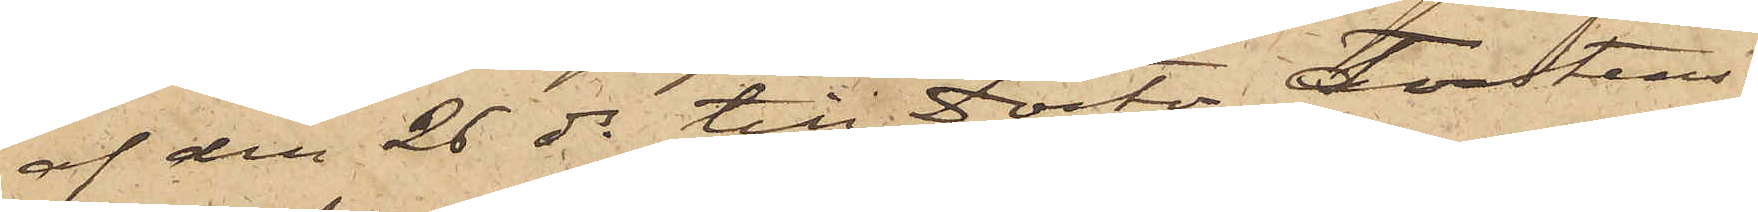af den 26 ds till Doctor Torstens¬
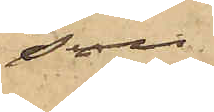son
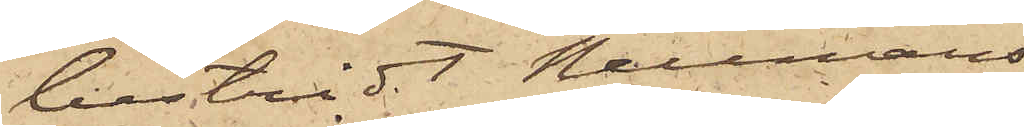bestridt Neumans
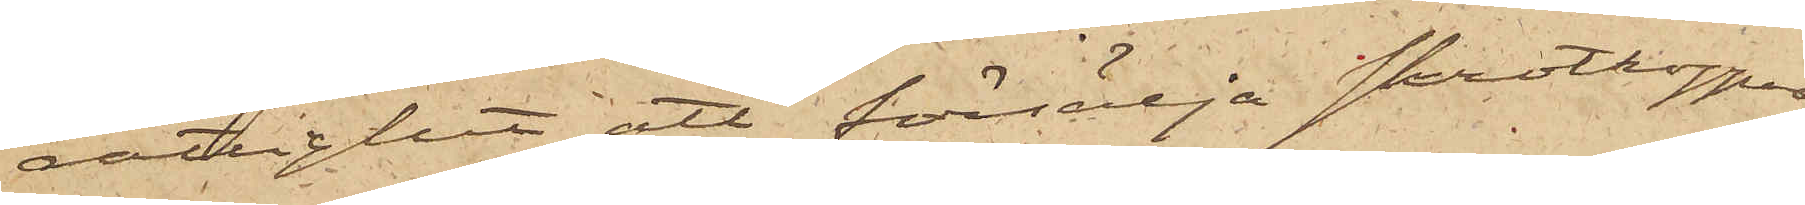rättighet att försälja skrotkoppar
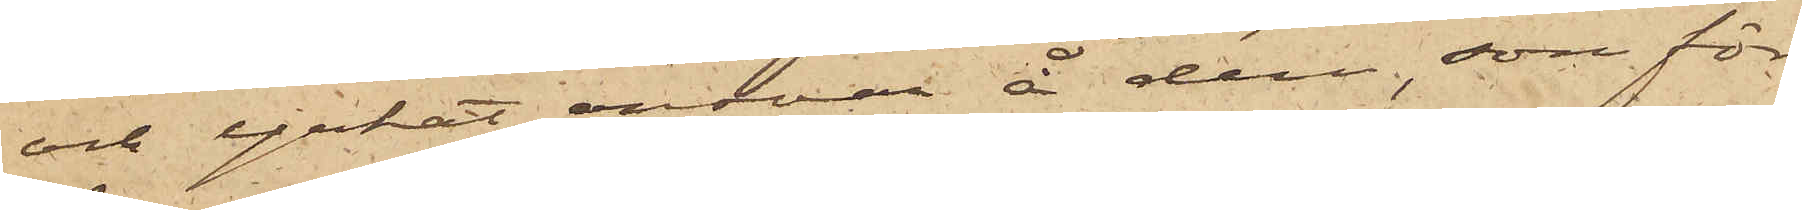och yrkat ansvar å dem, som för¬
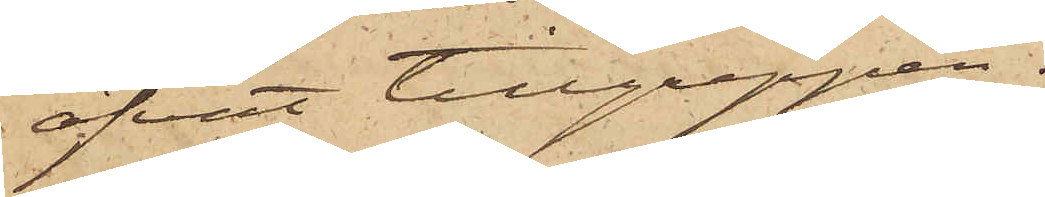öfvat tillgreppen.
